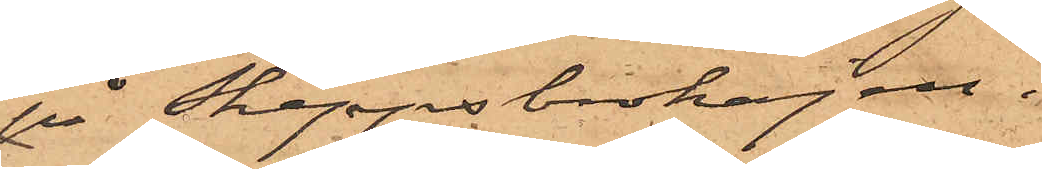på Skeppsbrokajen.
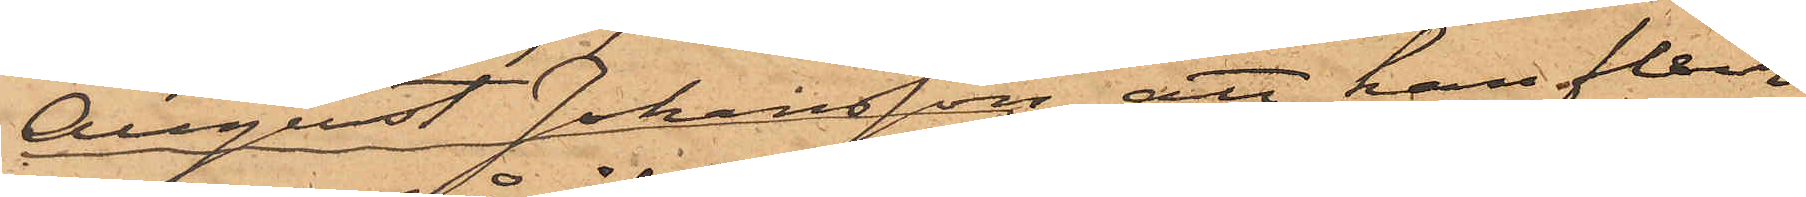August Johansson, att han flera
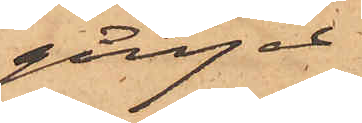gånger
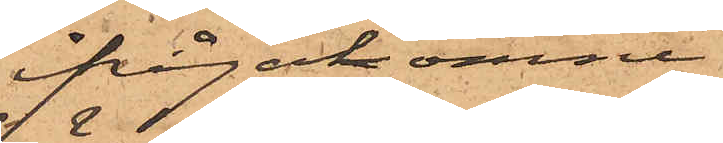ifrågakomne
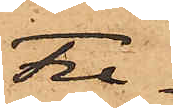Fre¬
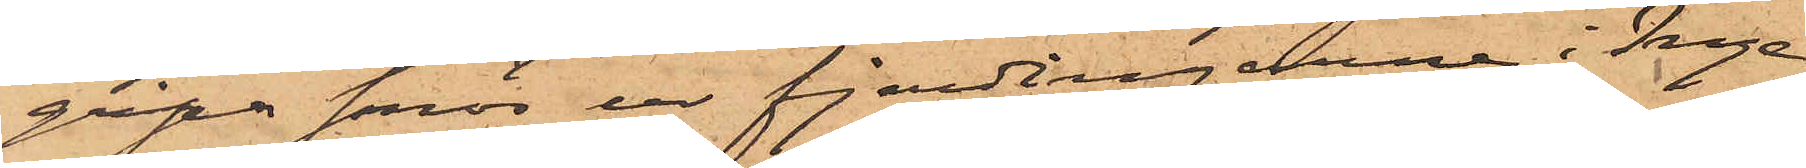gripa smör ur fjerdingarne i Inge¬
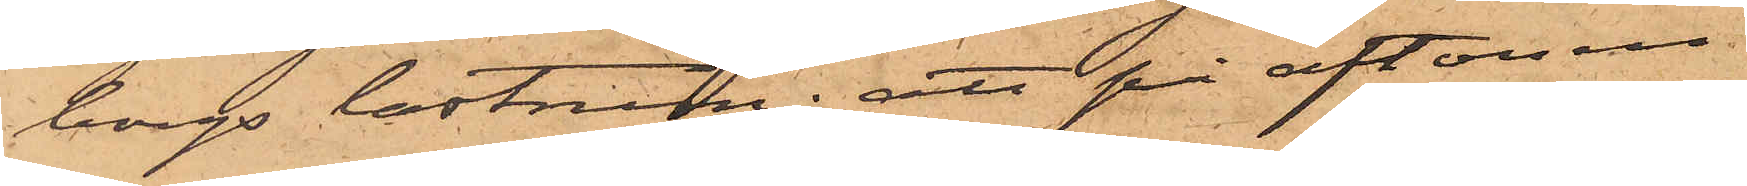borgs lastrum; att på aftonen
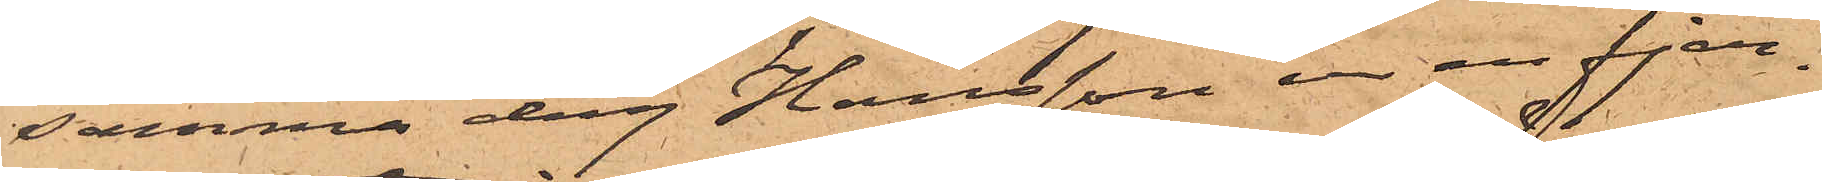samma dag Hansson ur en fjer¬
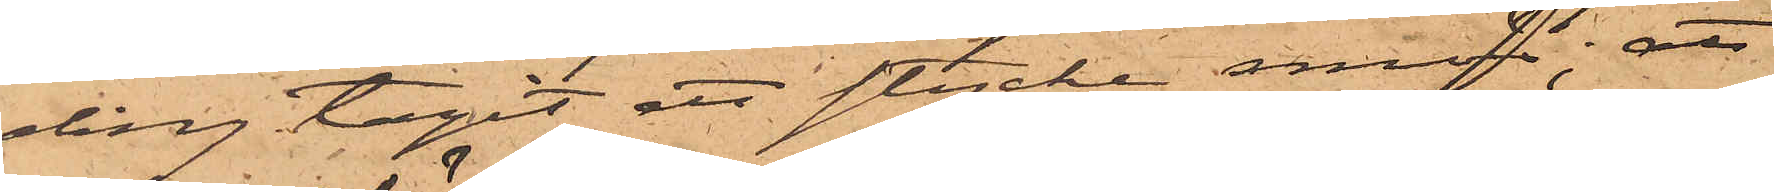ding tagit ett stycke smör; att
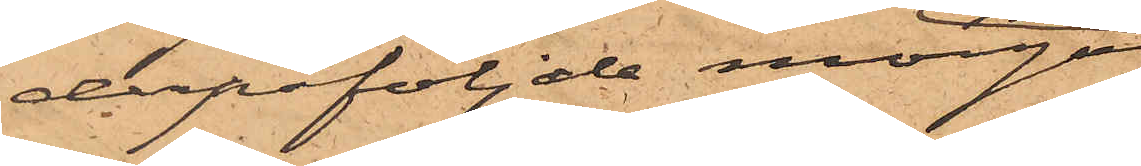derpåföljande morgon
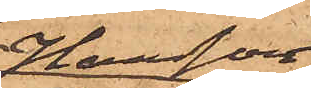Hansson
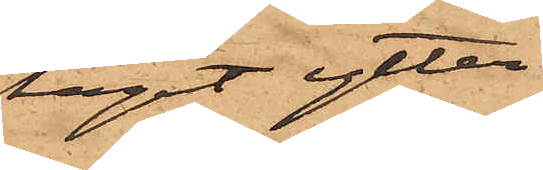tagit ytter¬
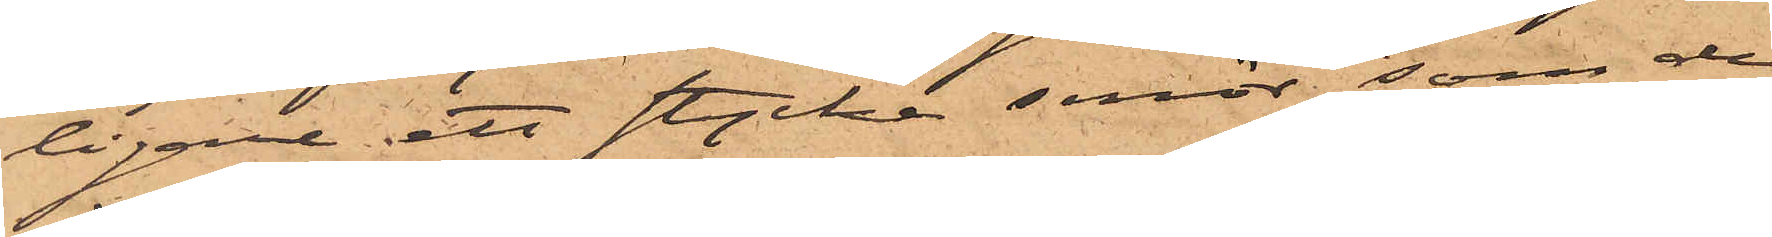ligare ett stycke smör, som de
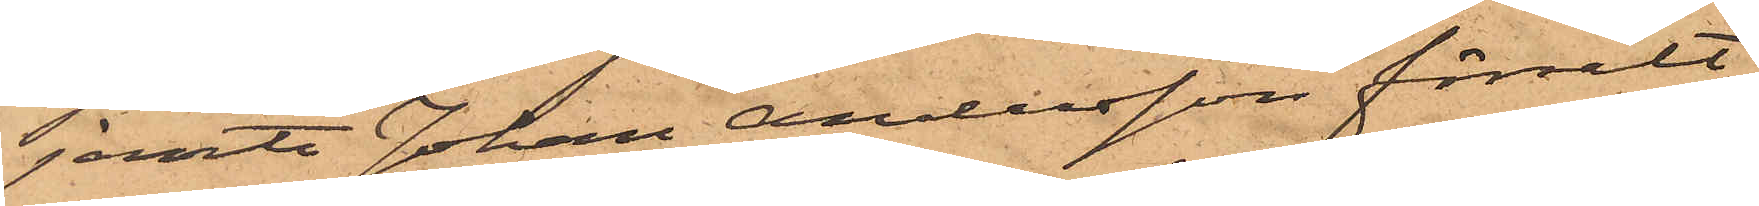jemte Johan Andersson försålt
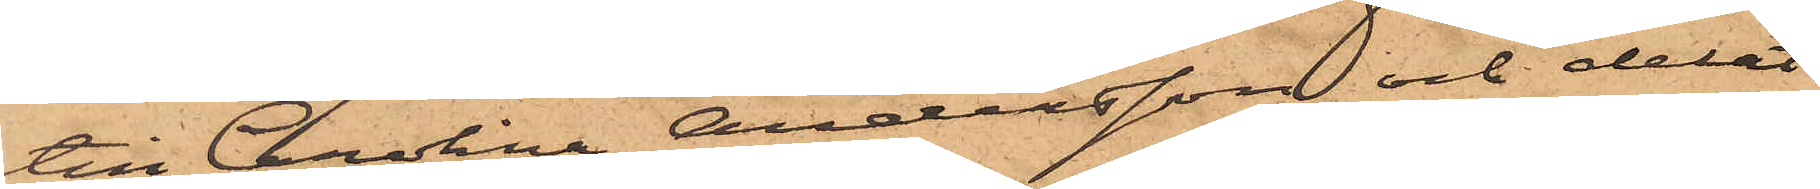till Carolina Andersson och delat
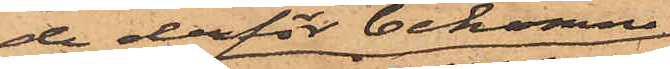de derför bekomne
